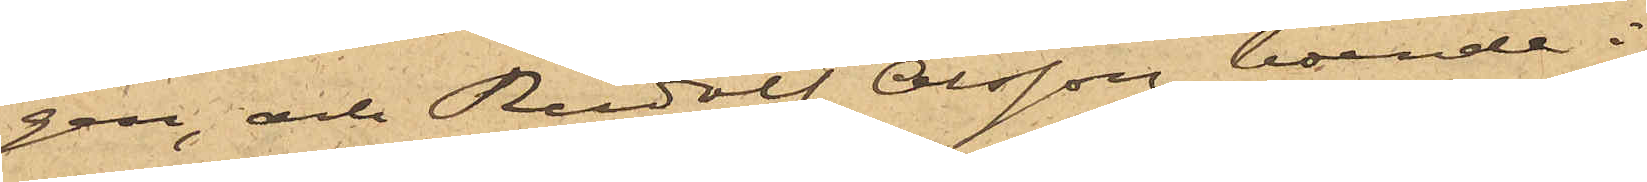gen, och Rudolf Olsson, boende i
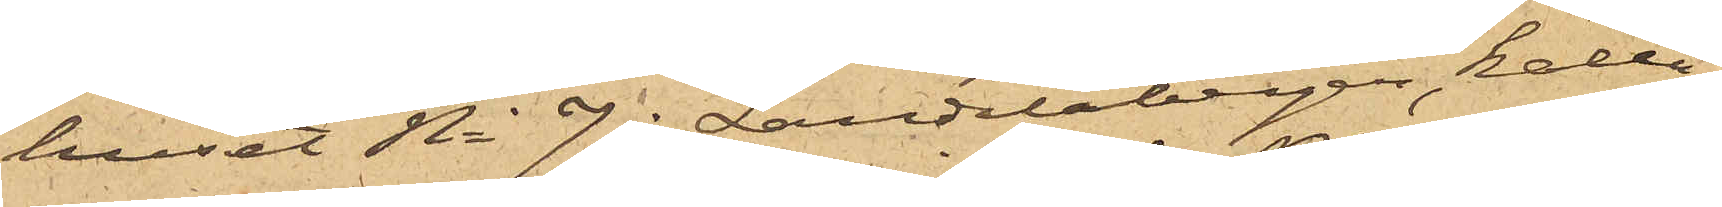huset No 7 i Landalabergen, kalla¬
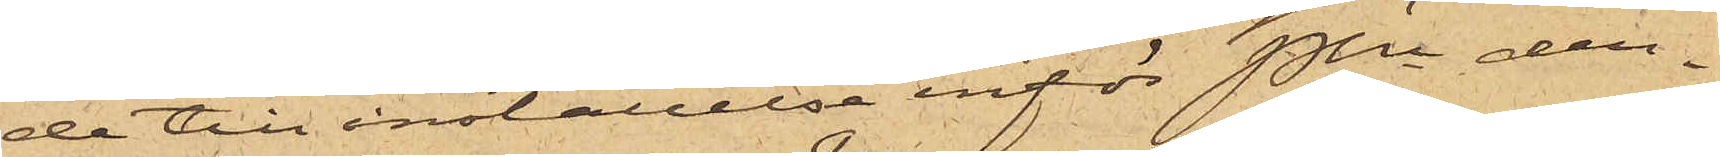de till inställelse inför Pkn den¬
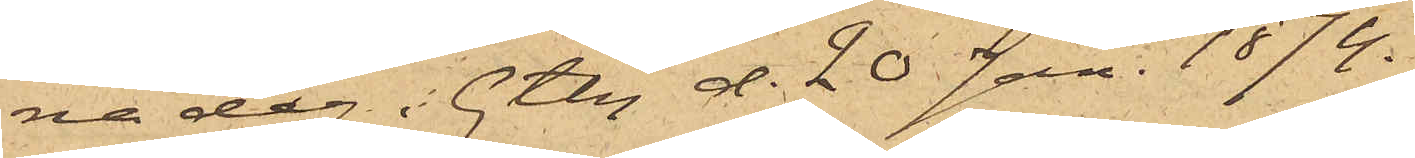na dag. Gtbg d. 20 Jan. 1874.
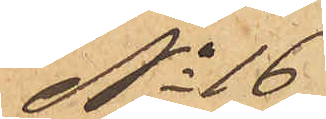No 16
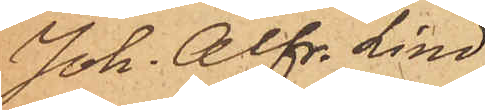Joh. Alfr. Lind¬
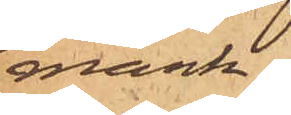mark
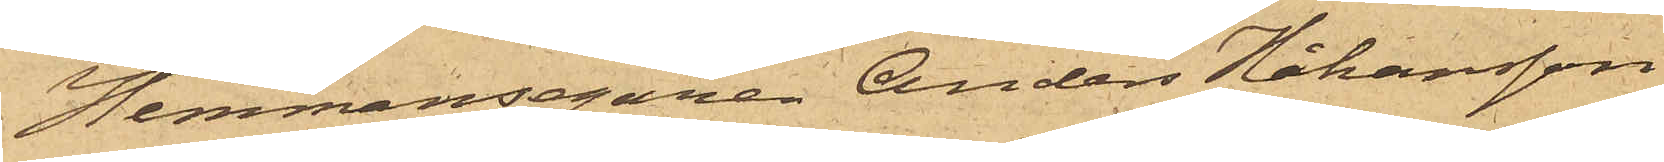Hemmansegaren Anders Håkansson
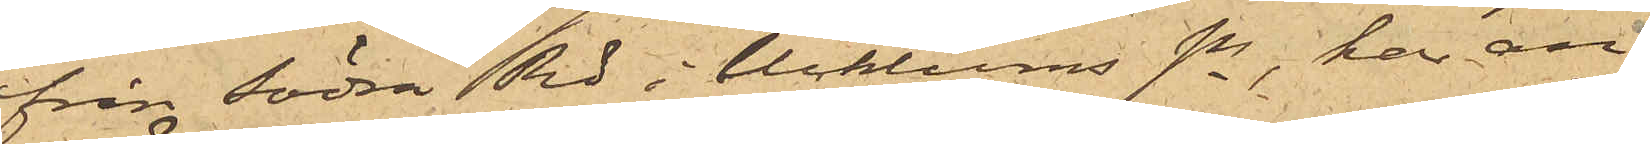från Södra Rd i Ucklums sn, har an¬
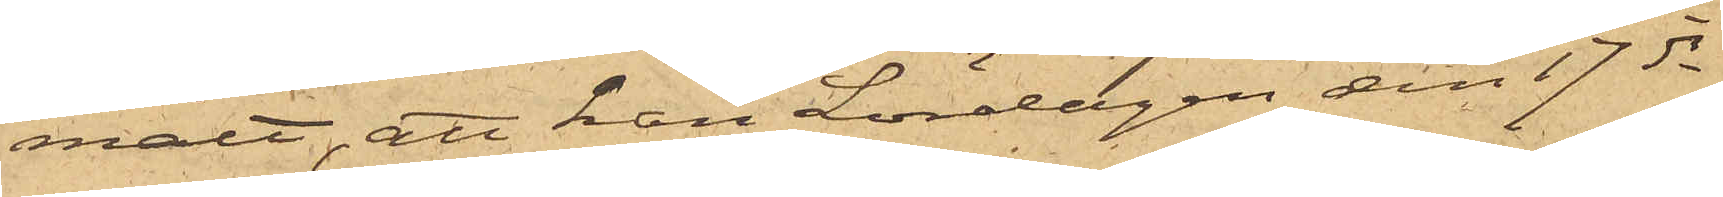mält, att han Lördagen den 17 ds
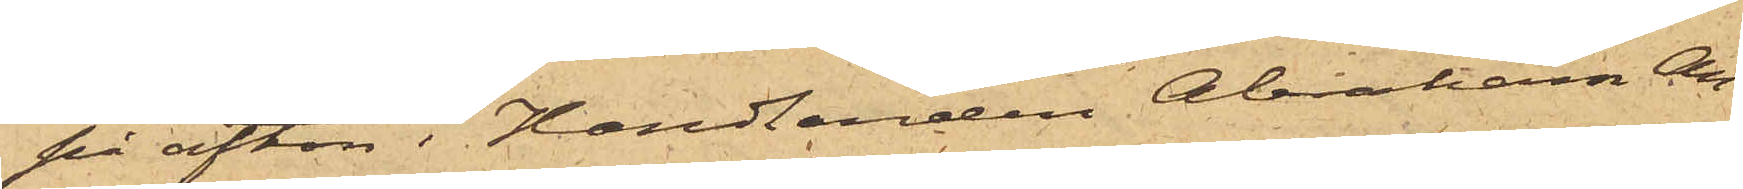på afton i Handlanden Abraham An¬
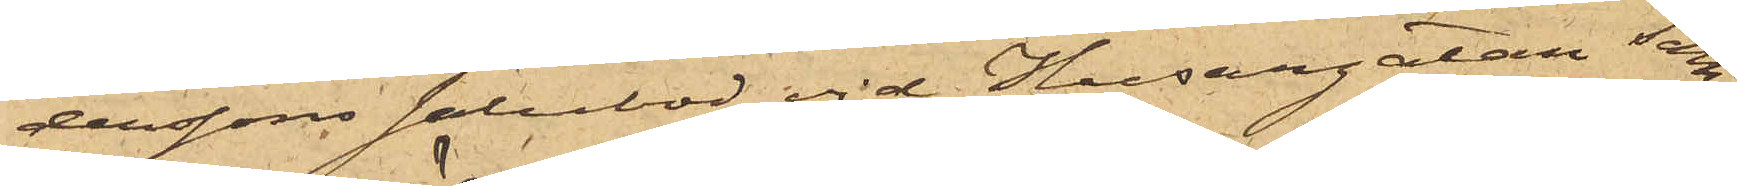derssons salubod vid Husargatan sam¬
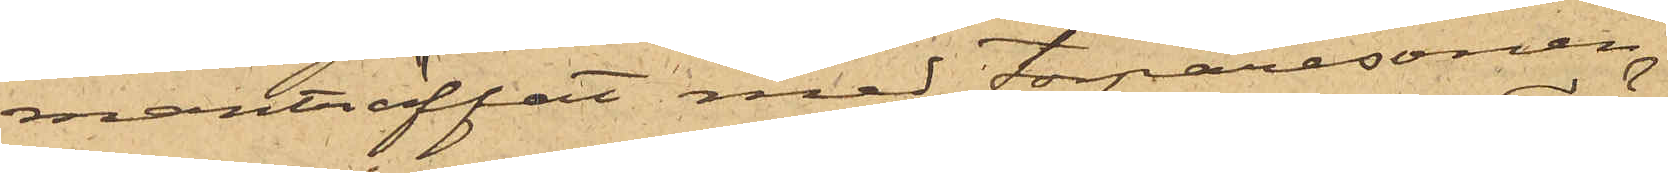manträffat med Torparesonen
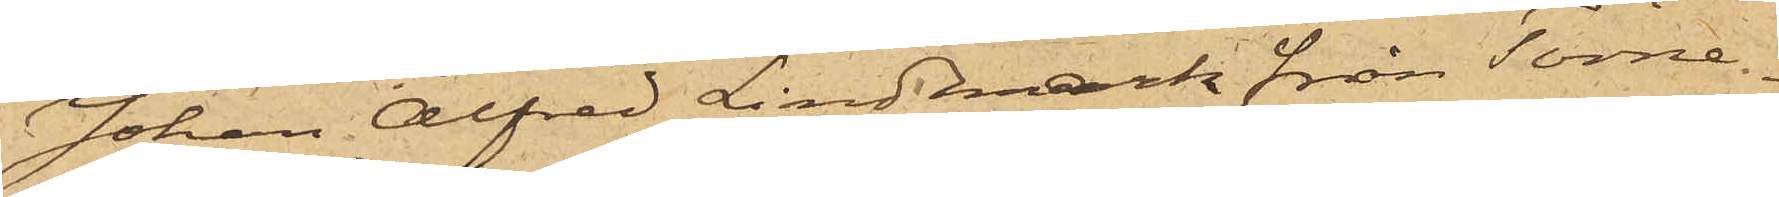Johan Alfred Lindmark från Törne¬
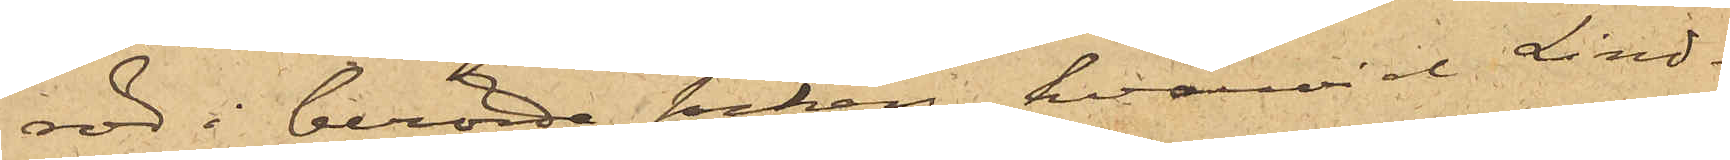röd i berörde socken, hvarvid Lind¬
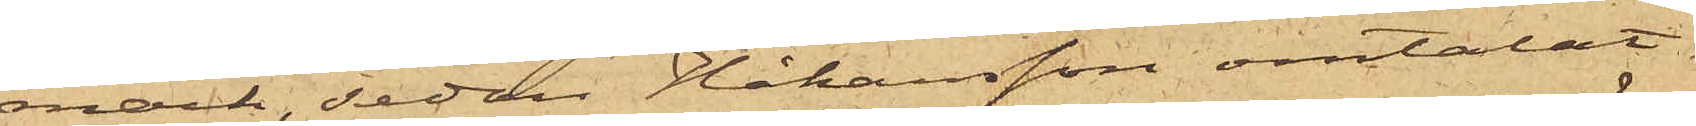mark, sedan Håkansson omtalat
